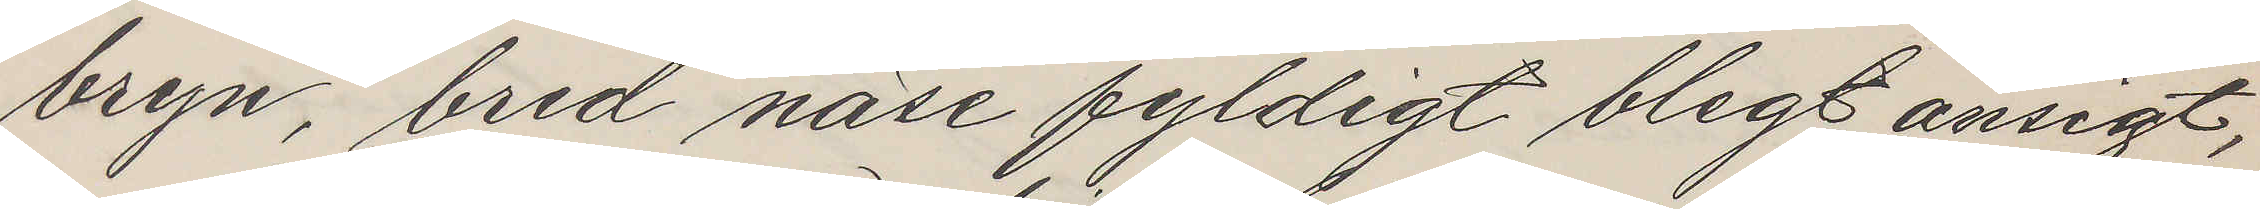bryn, bred näse fyldigt blegt ansigt,
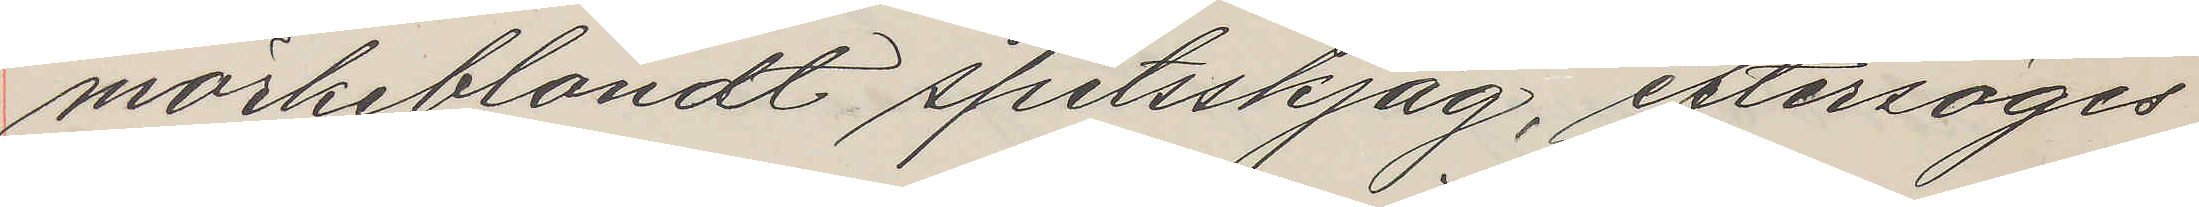mörkeblondt spitsskjäg, eftersöges
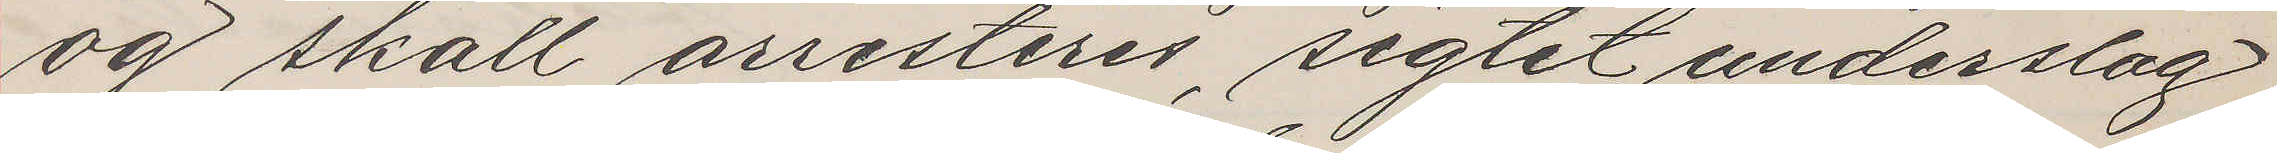og skall arresteres, sigtet underslag
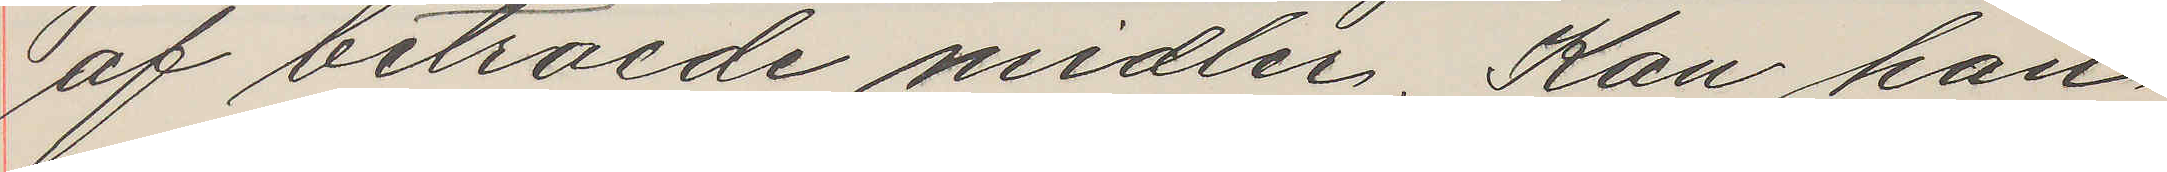af betroede midler. Kan han
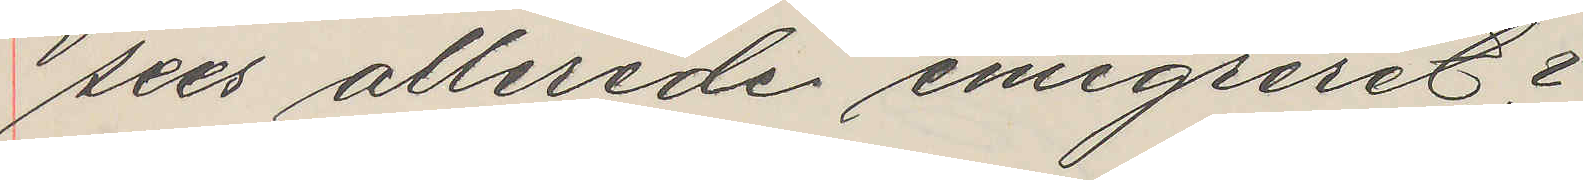sees allerede emigreret?
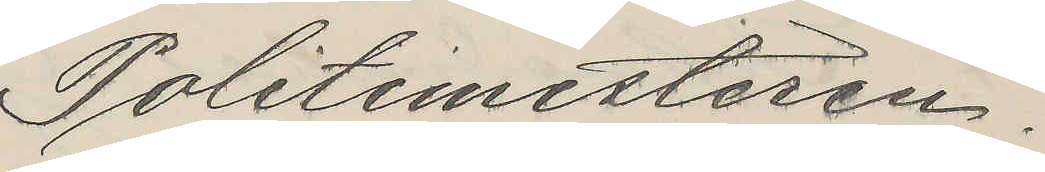Politimesteren.
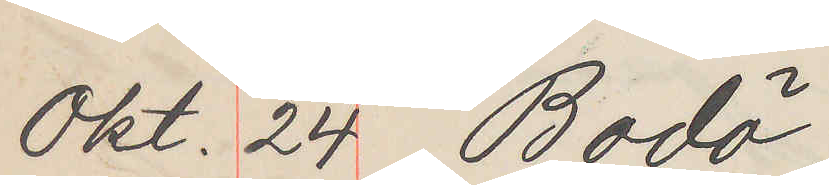Okt. 24 Bodö
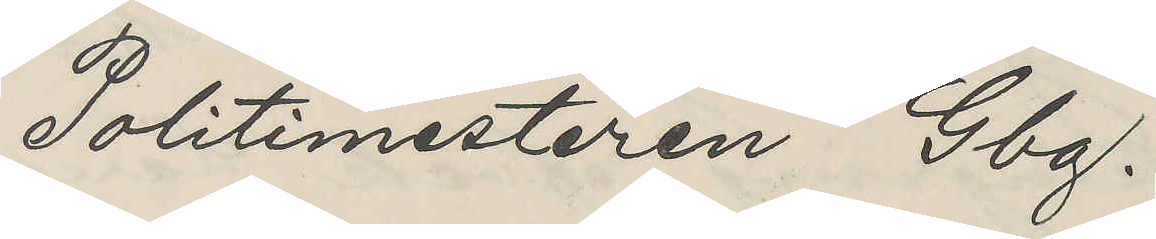Politimesteren Gbg.
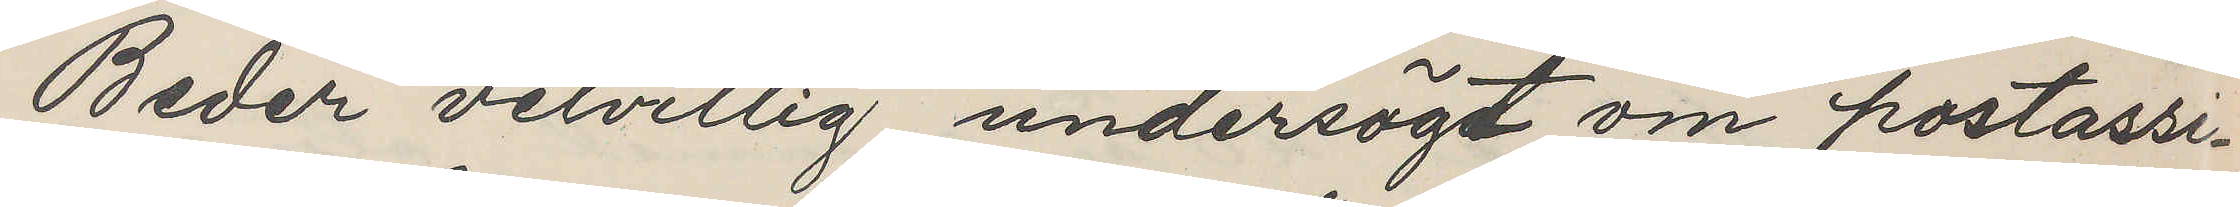Beder velvillig undersögt om postassi¬
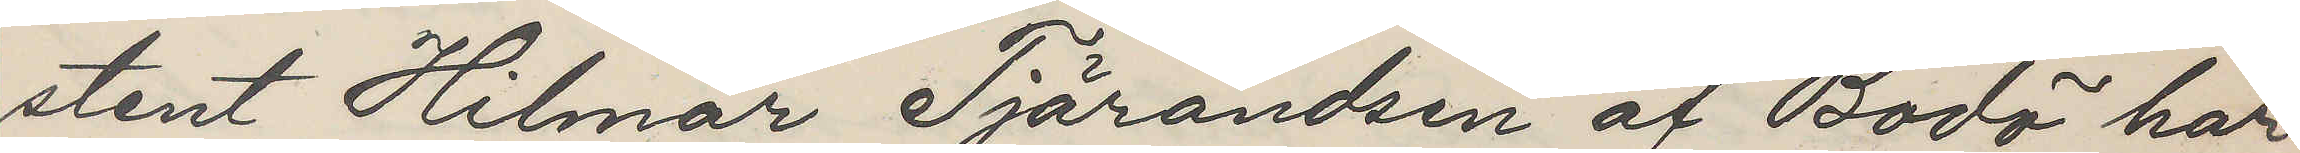stent Hilmar Tjärandsen af Bodö har
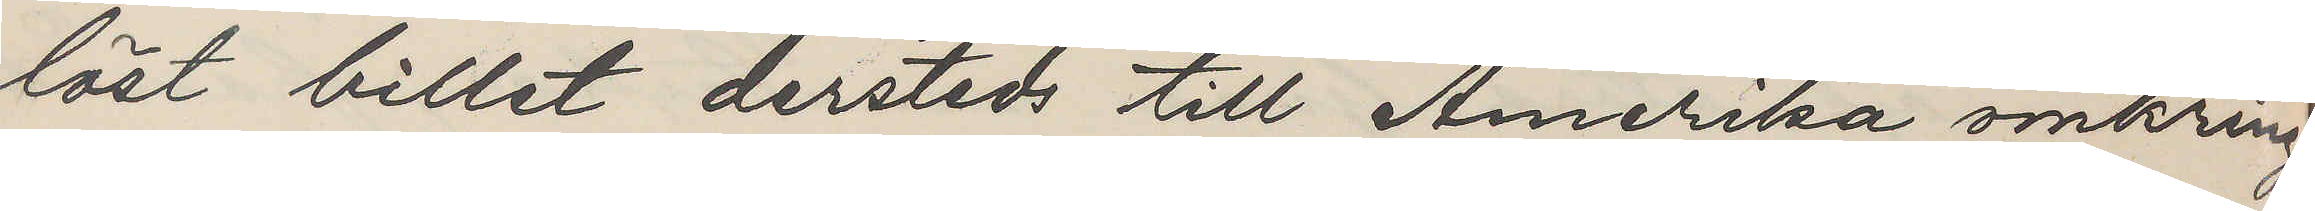löst billet dersteds till Amerika omkring
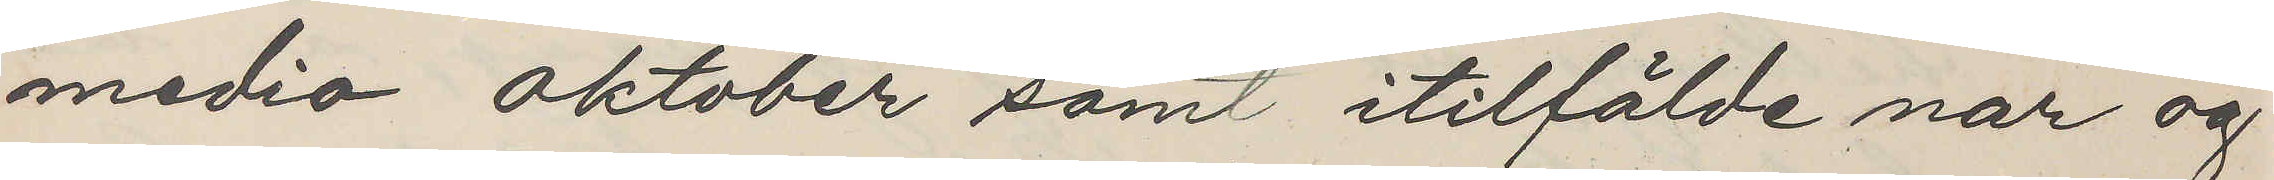medio Oktober samt itilfälde nar og
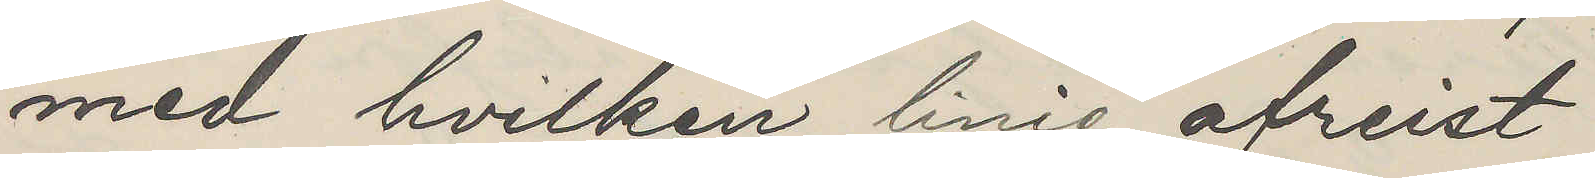med hvilken linie afreist
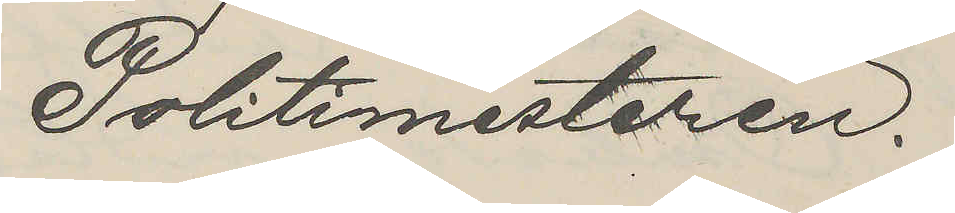Politimesteren.
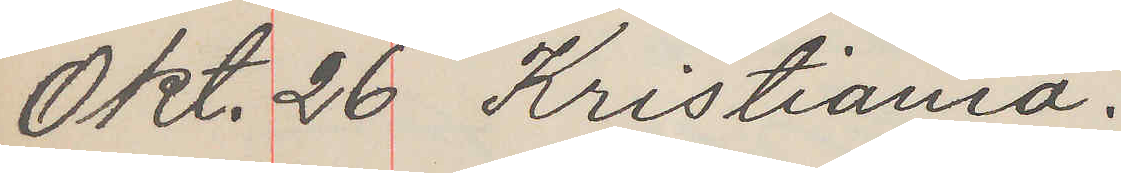Okt. 26 Kristiania.
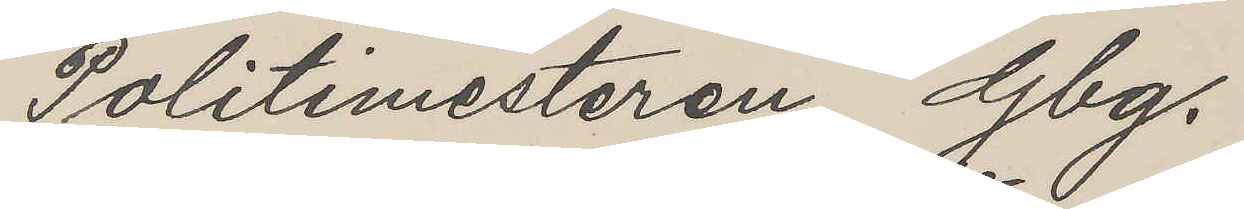Politimesteren Gbg.
